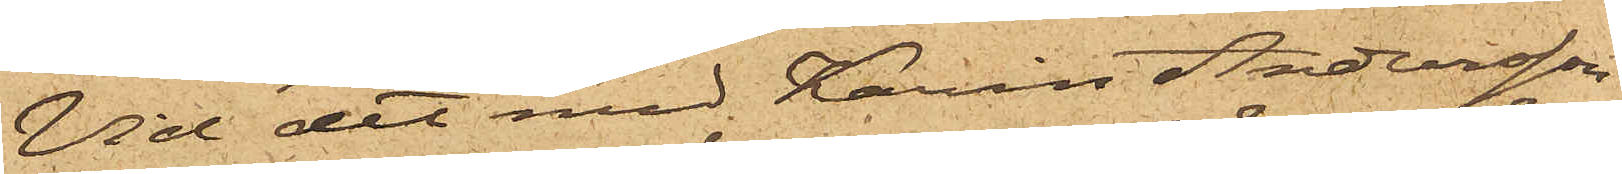Vid det med Karin Andersson
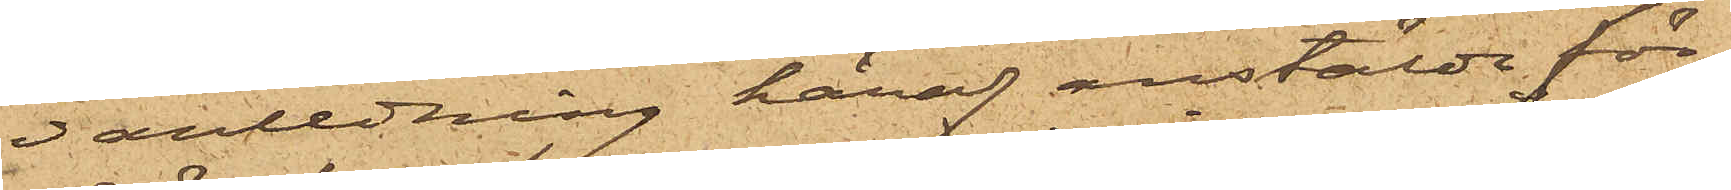i anledning häraf anstälde för¬
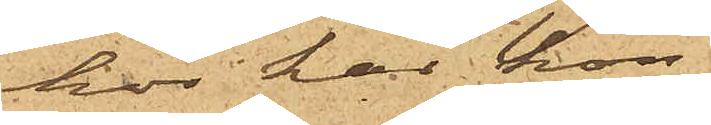hör har hon
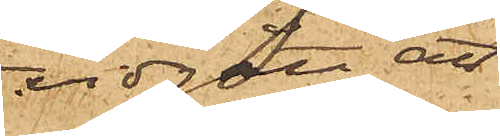vidgått, att
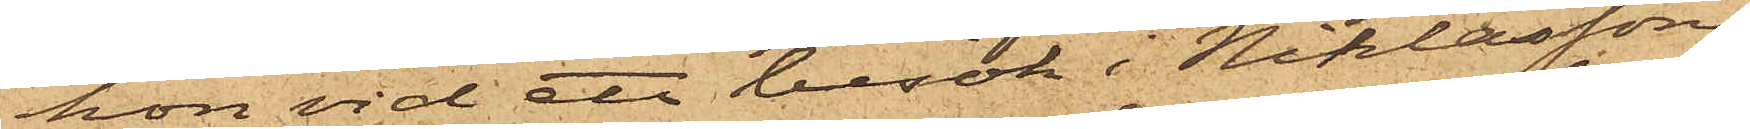hon vid ett besök i Niklassons
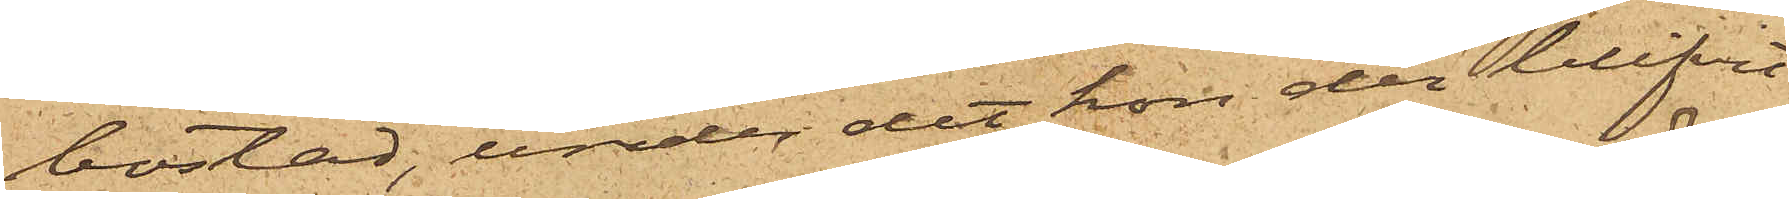bostad, under det hon der blifvit
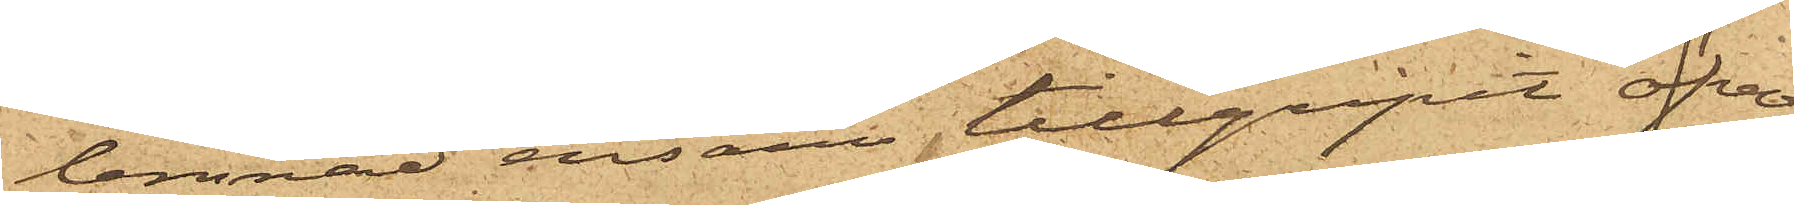lemnad ensam tillgripit öfver¬
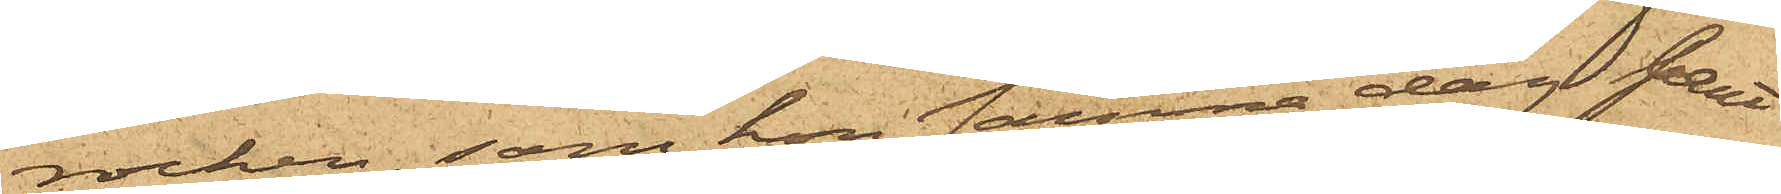rocken, som hon samma dag pant¬
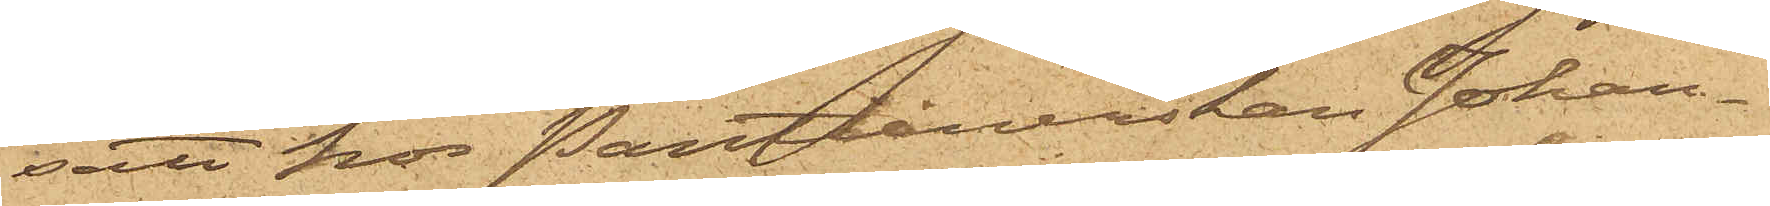satt hos Pantlånerskan Johan¬
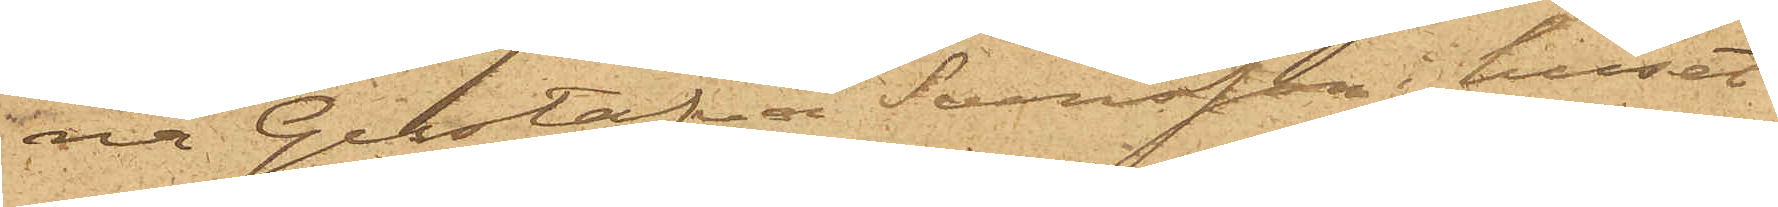na Gustafva Svensson i huset
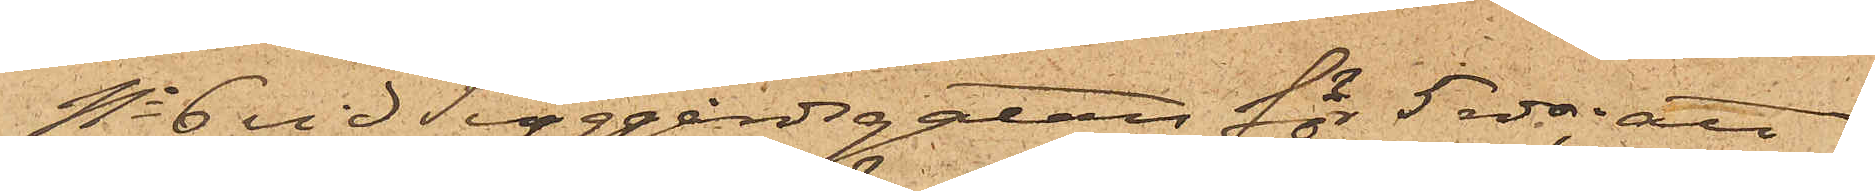No 6 vid Tyggårdsgatan för 5 rdr; att
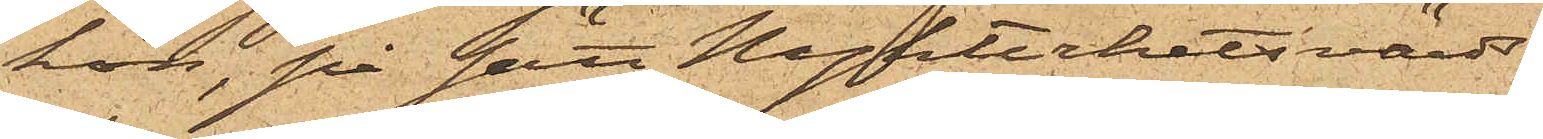hon, på sätt Nykterhetsvärds¬
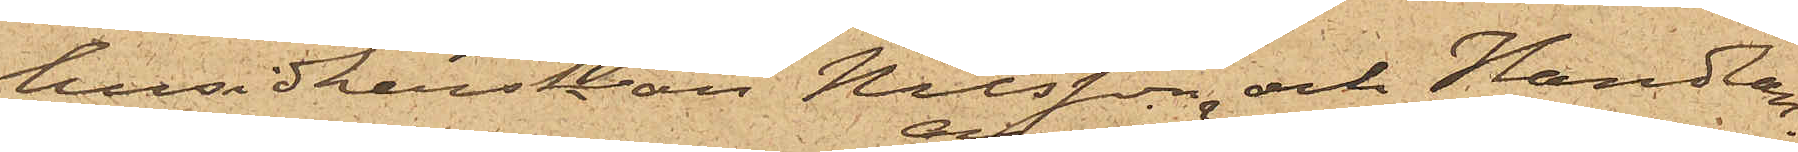husidkerskan Nilsson och Handlan¬
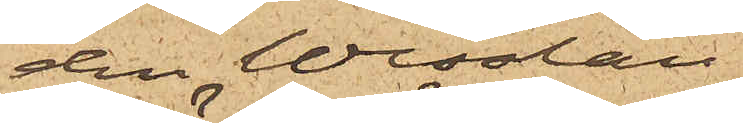den Wesslau
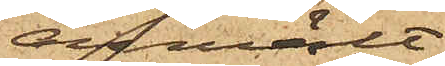anmält,
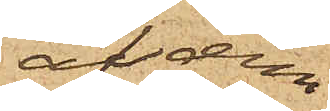af dem
